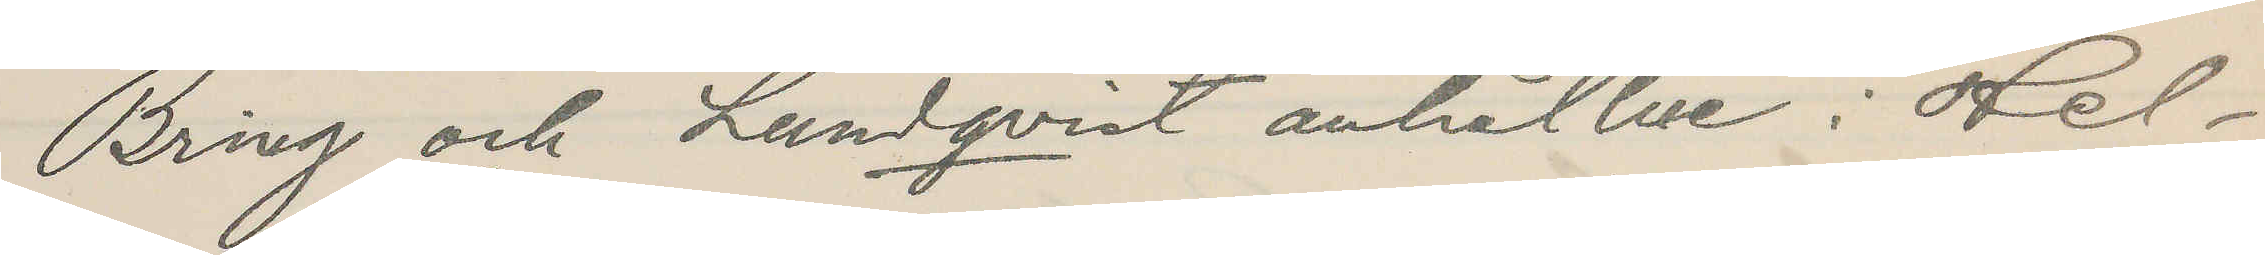Bring och Lundqvist anhållne i Hel¬
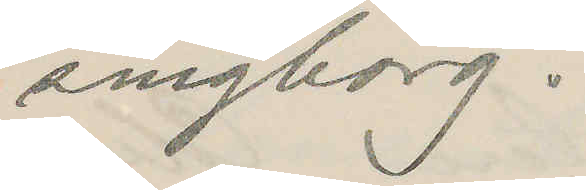singborg.
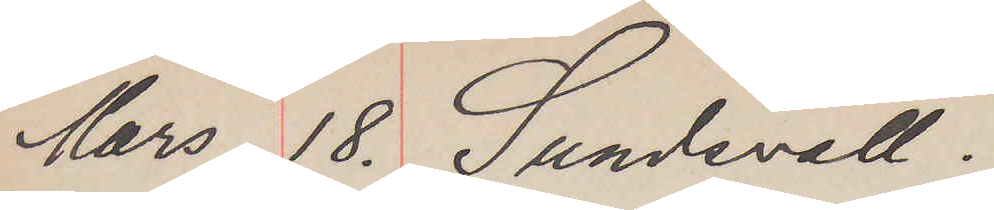Mars 18. Sundsvall.
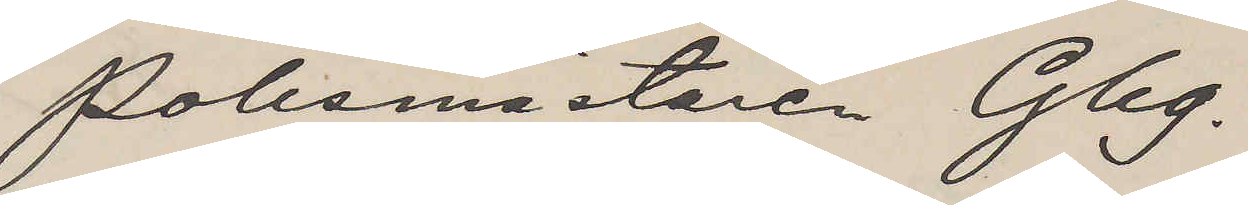Polismästaren Gbg.
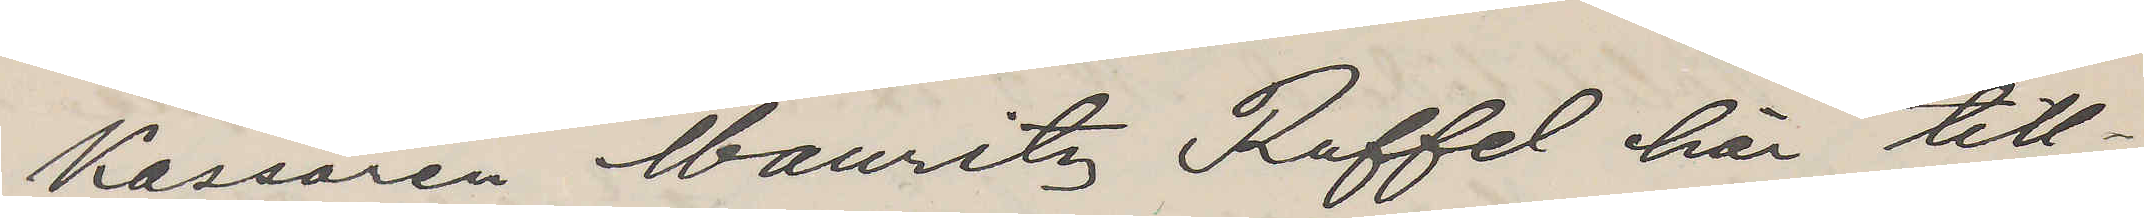Kassören Mauritz Ruffel här till¬
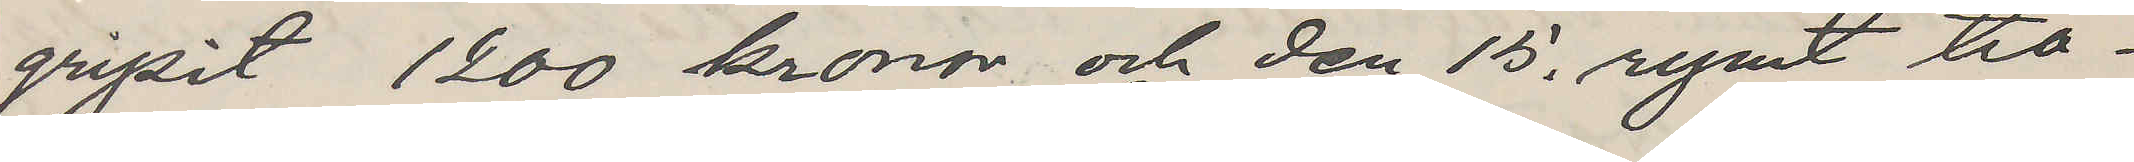gripit 1200 kronor och den 15 rymt tro¬
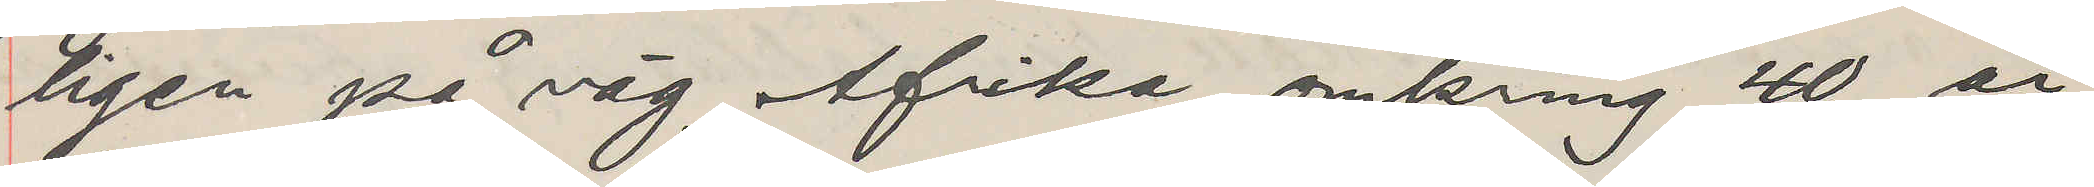ligen på väg Afrika, omkring 40 år,
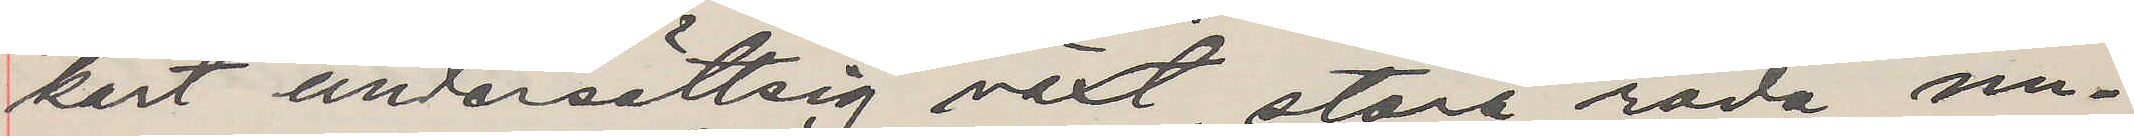kort undersättsig växt, stora röda mu¬
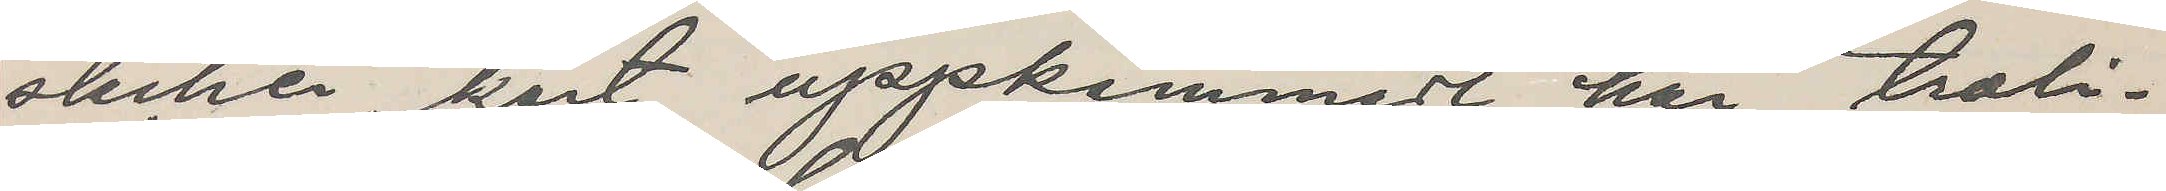stacher, kort uppkammat hår, troli¬
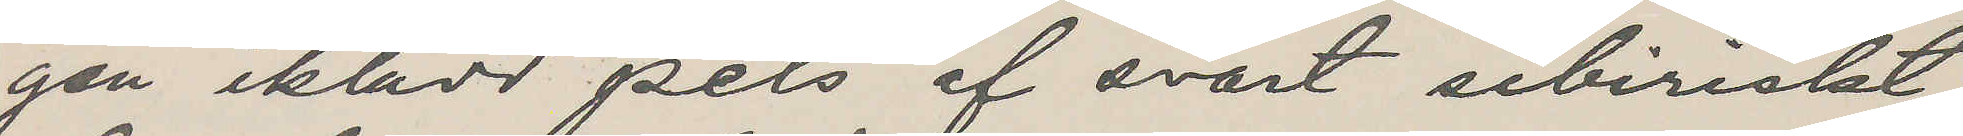gen iklädd pels af svart sibiriskt
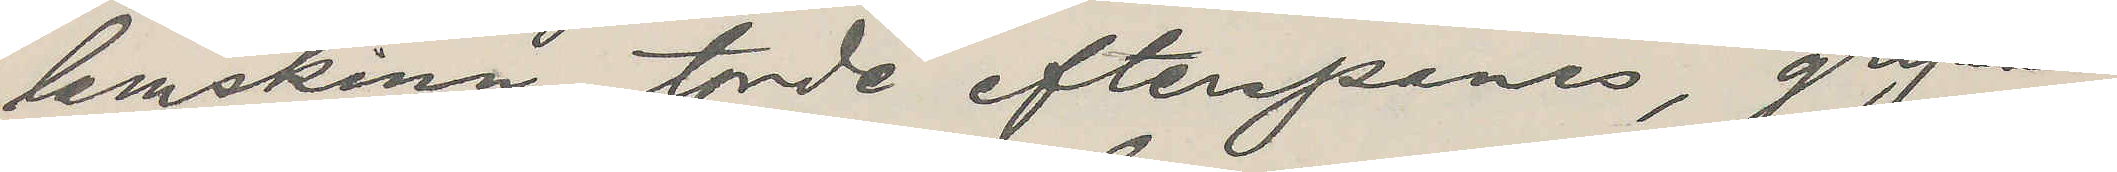lamskinn, torde efterspanas, gripas
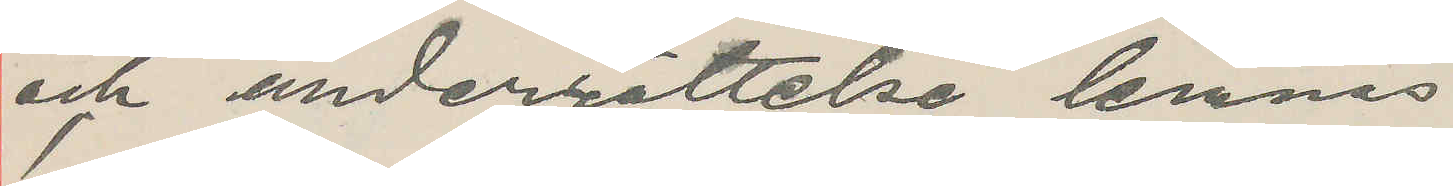och underrättelse lemnas
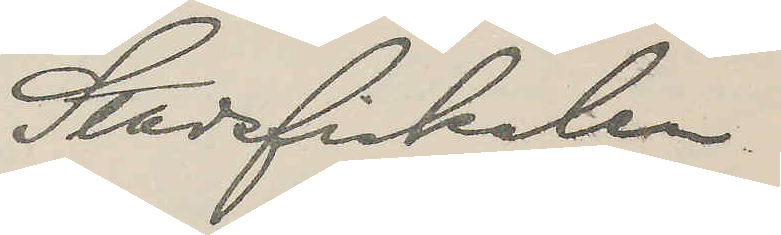Stadsfiskalen
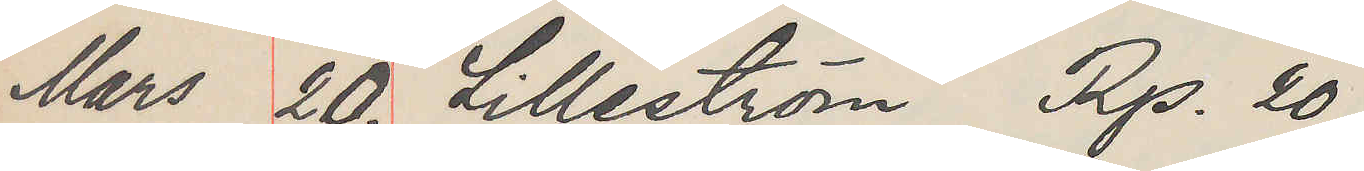Mars 20. Lilleström Rp. 20
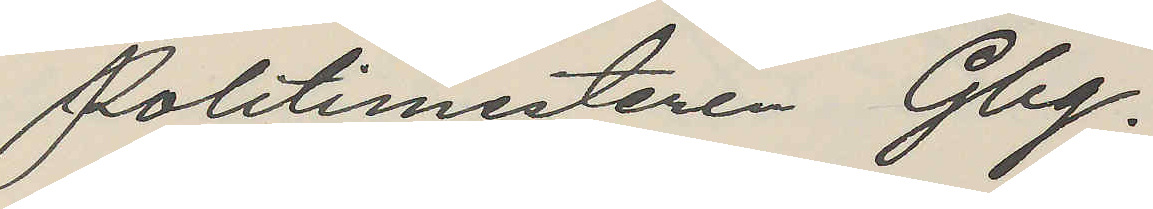Politimesteren Gbg.
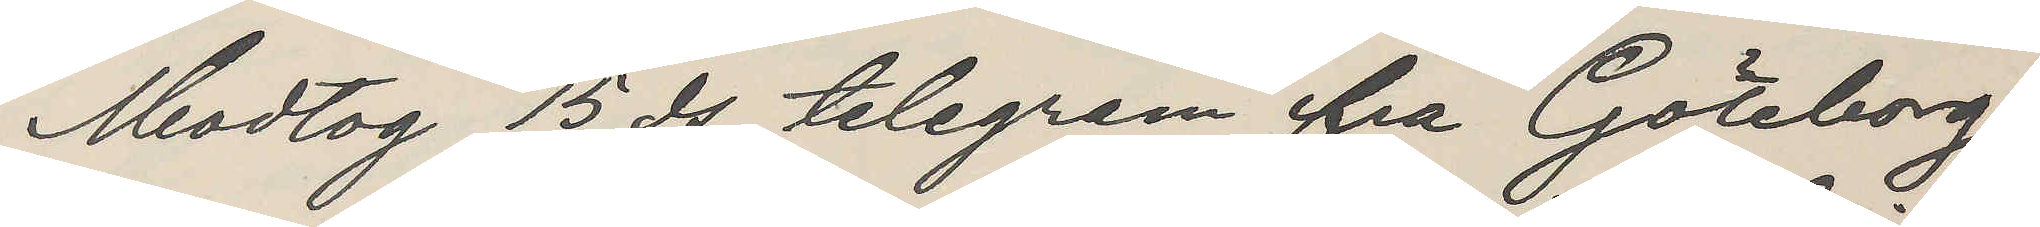Modtog 15 ds telegram fra Göteborg,
